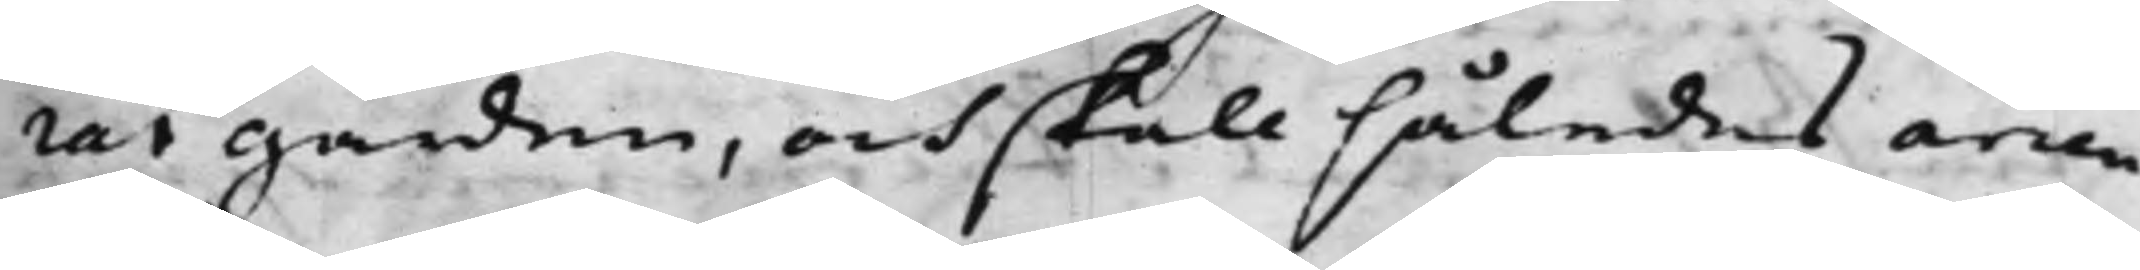rat gården, och skall således arren¬
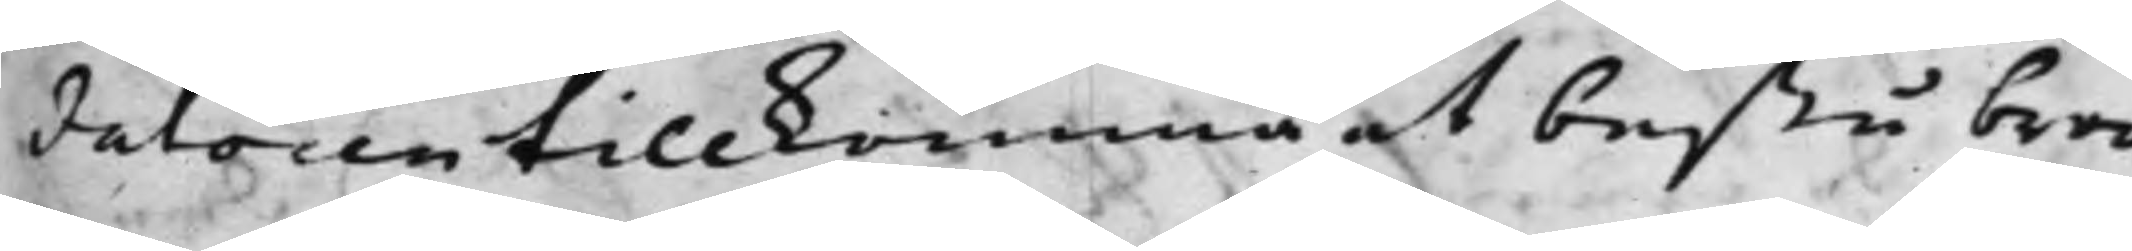datoren tillkomma at bestå bero¬
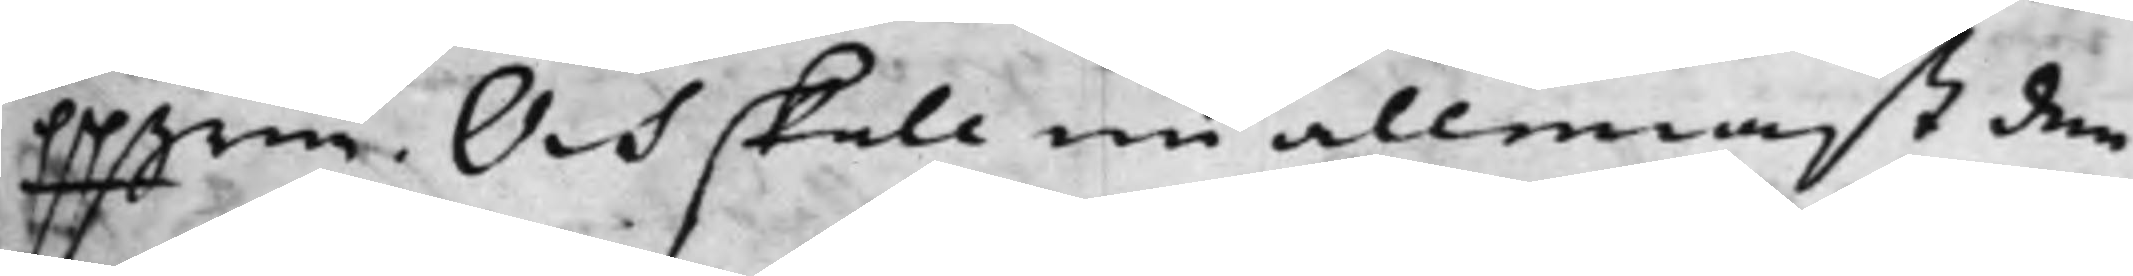ppgrne. Och skall nu allenast den
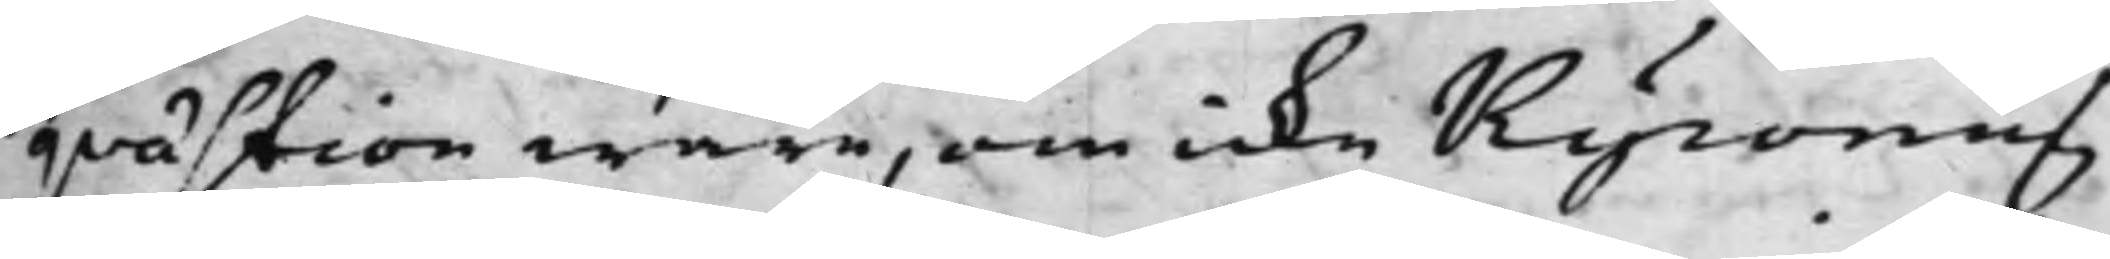qvästion ware, om icke Kyronius
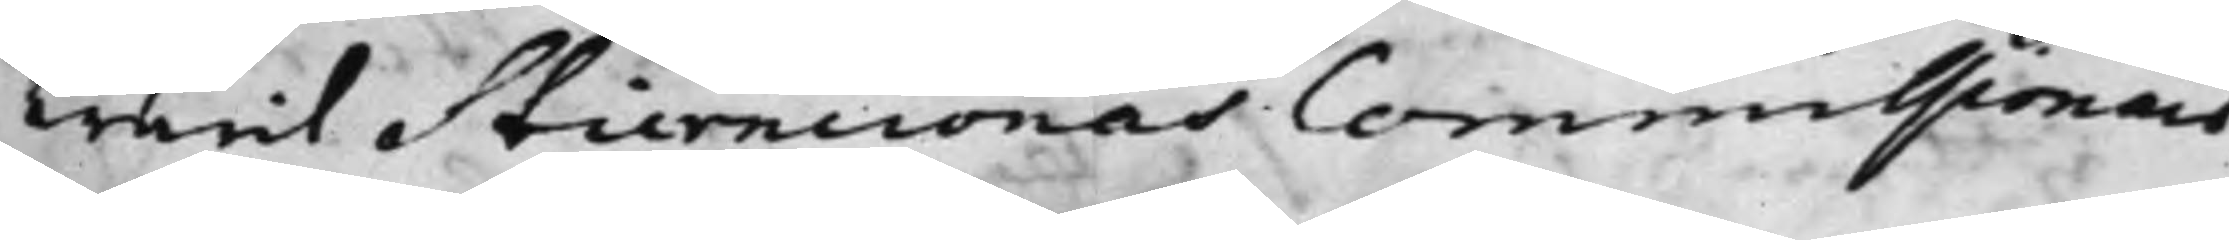warit Stierncronas Commissionär
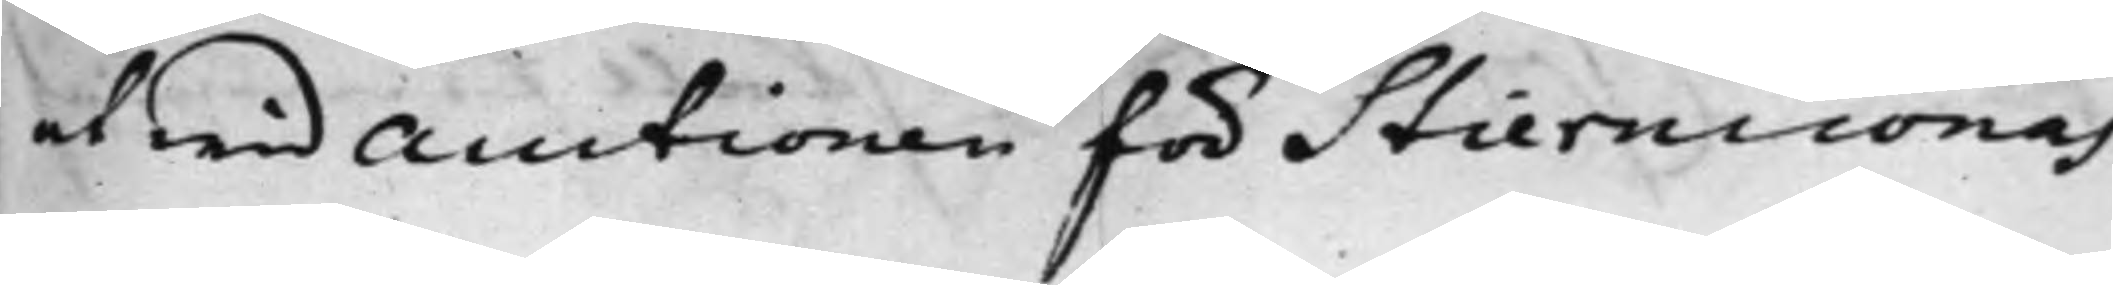at wid Auctionen för Stierncronas
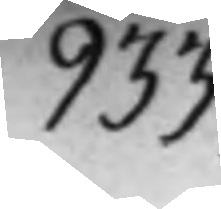933
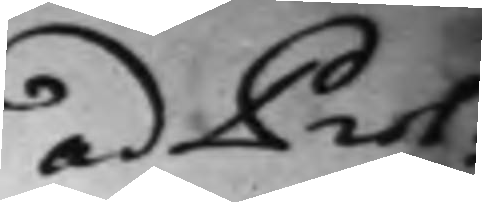ad Prot:
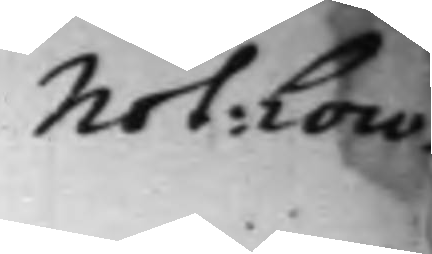Not: Loco.
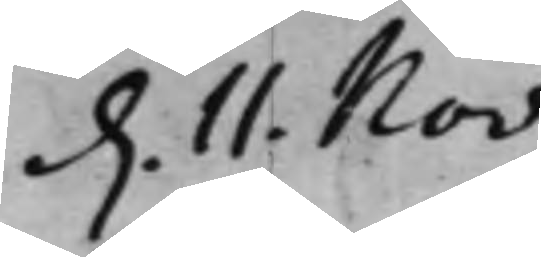 d. 11. Nov:
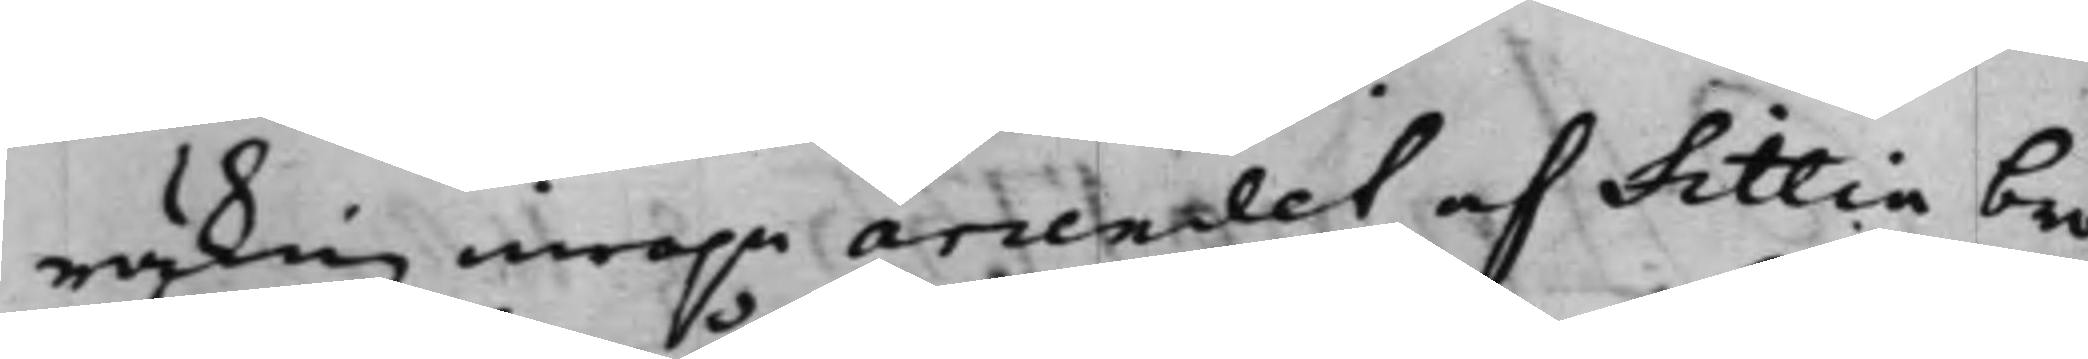räknig innom arrendet af Fittia bro,
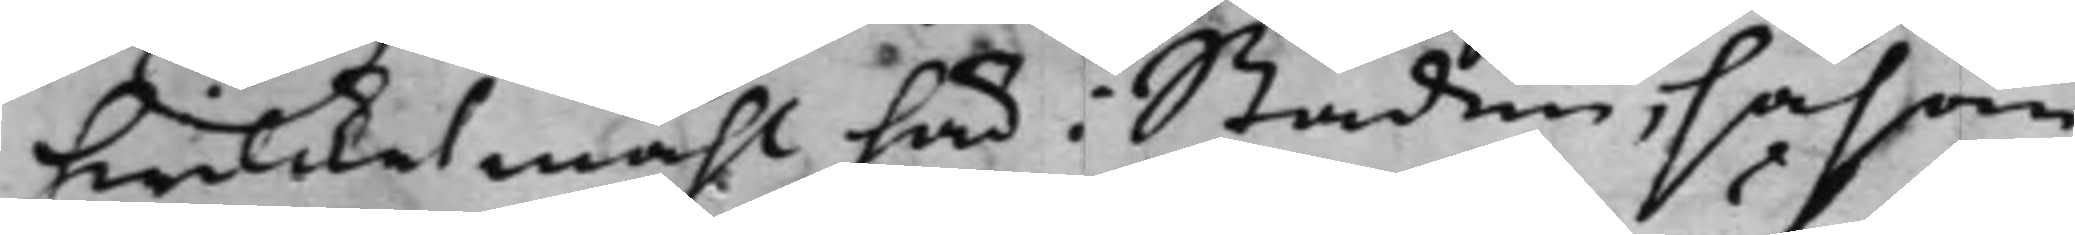hwilket måhl här i Staden, såsom
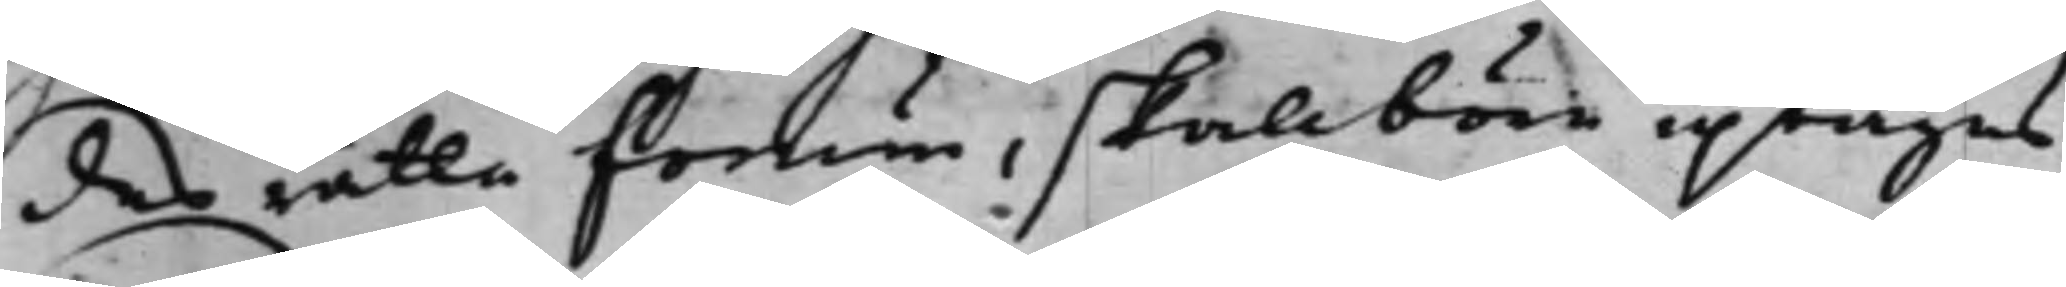des rätta forum, skall böre uptagas,
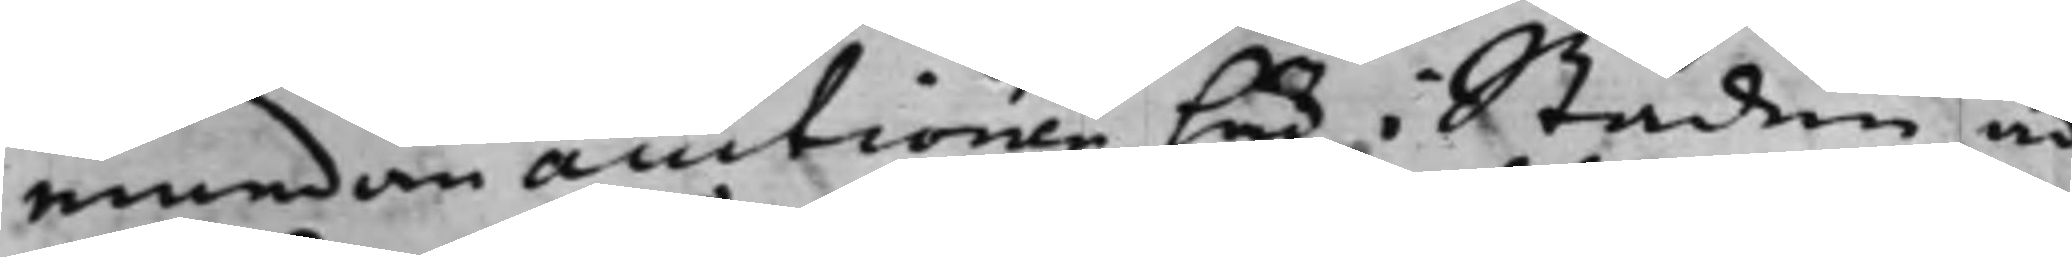emedan auctionen här i Staden är
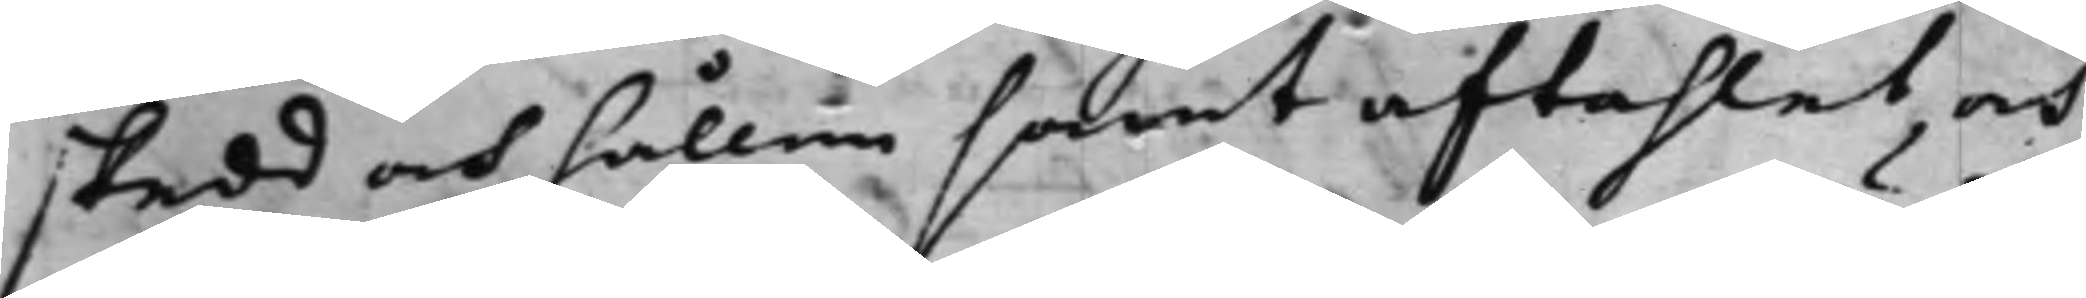skedd och hållen samt aftahlat och
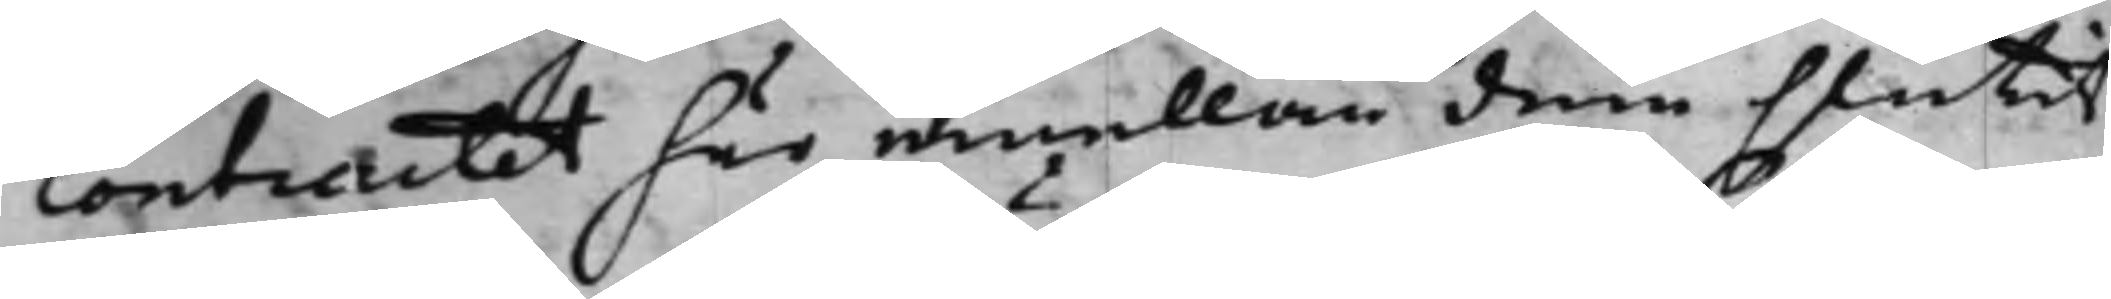Contractet här emellan dem slutit.
